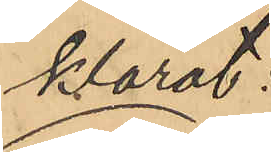klarat
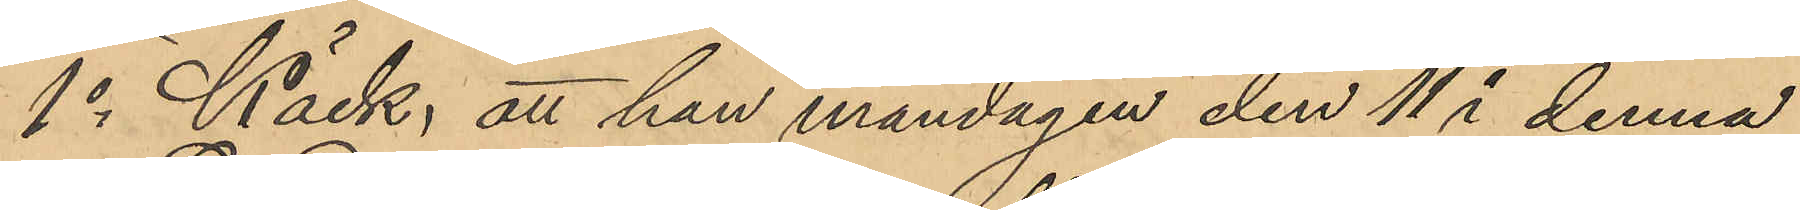1o Käck, att han måndagen den 11 i denna
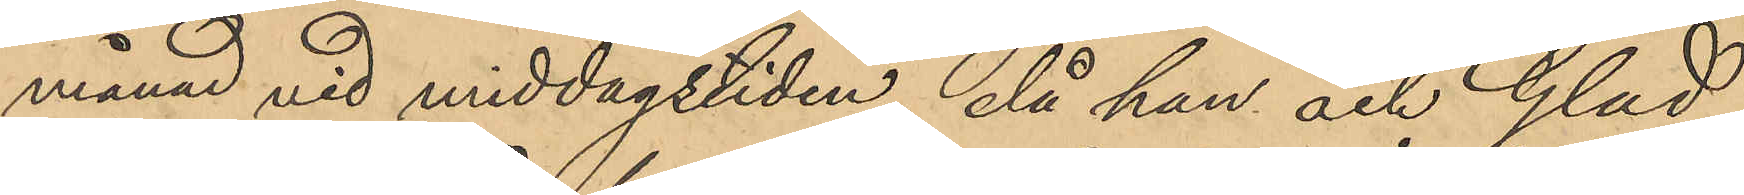månad vid middagstiden, då han och Glad
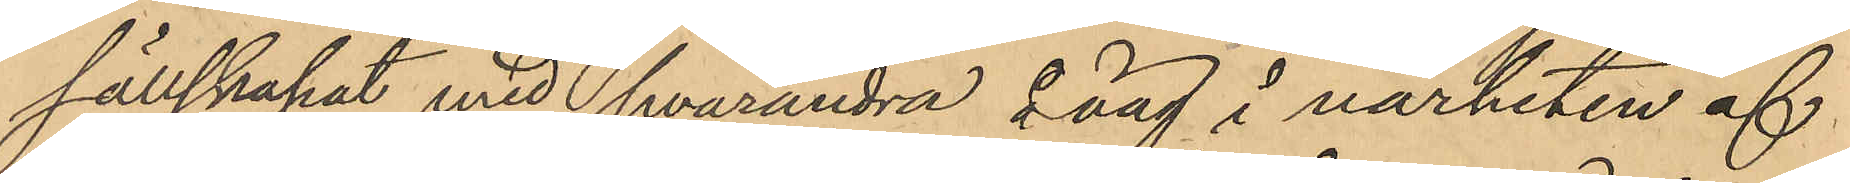sällskapat med hvarandra å väg i närheten af
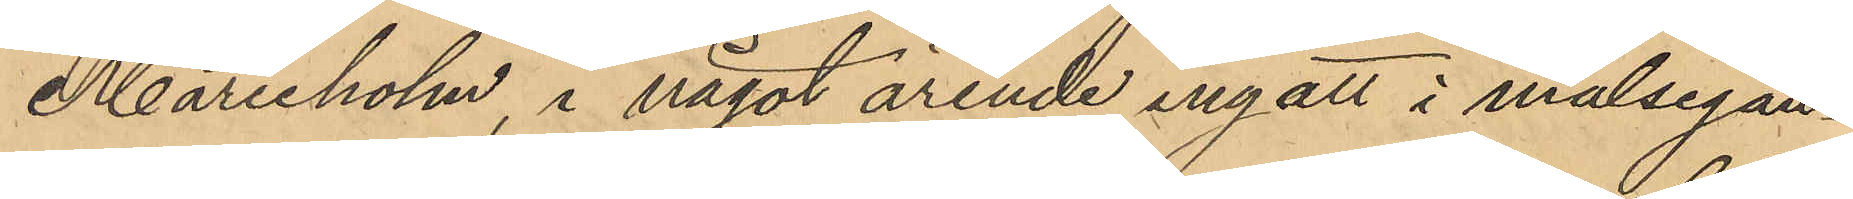Marieholm, i något ärende ingått i målsegan¬
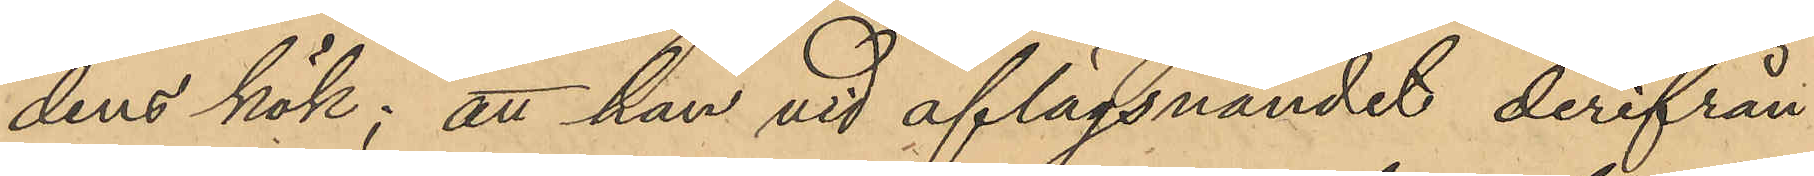dens kök; att han vid aflägsnandet derifrån
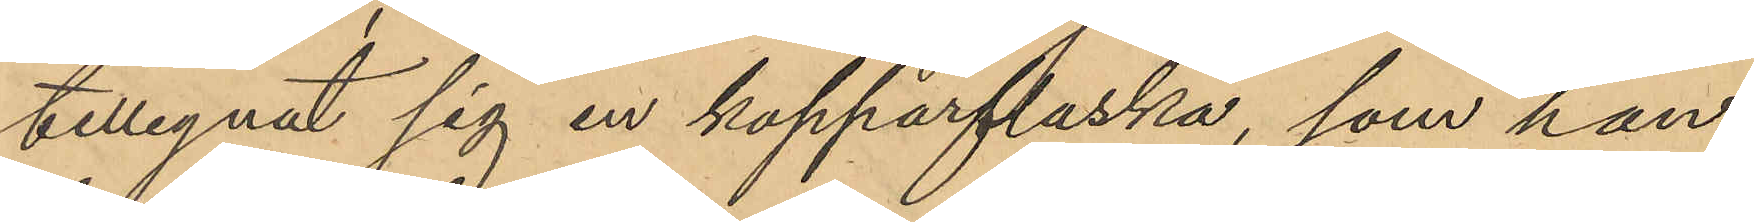tillegnat sig en kopparflaska, som han
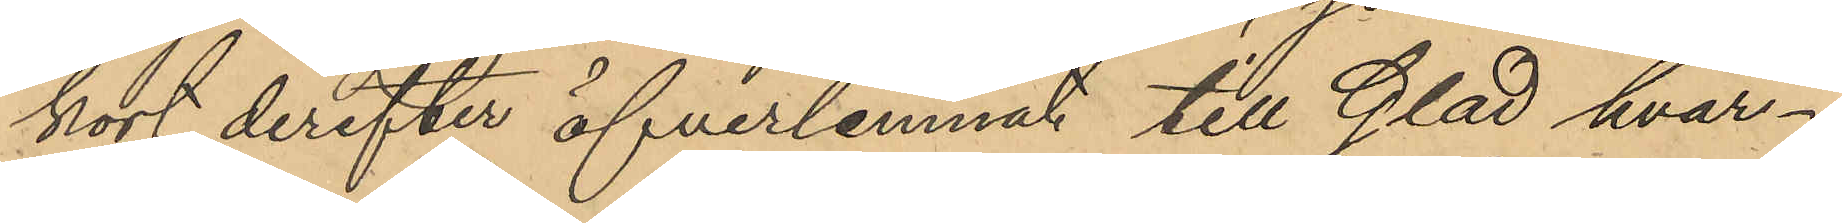kort derefter öfverlemnat till Glad hvar¬
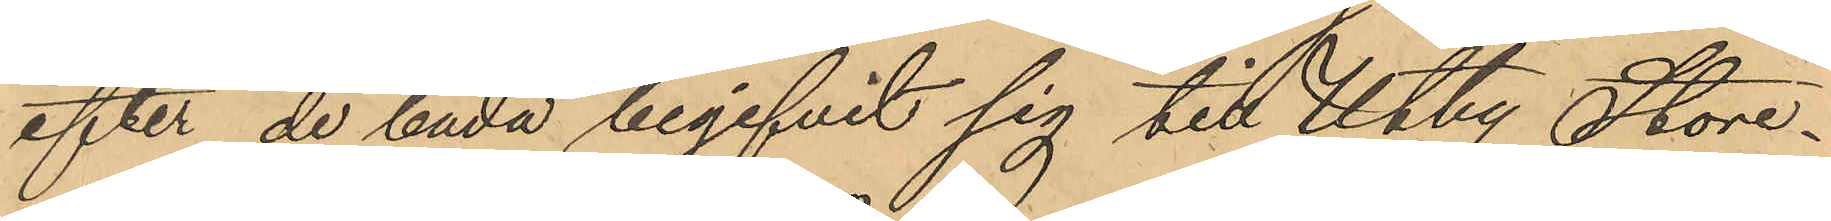efter de båda begifvit sig till Utby Store¬
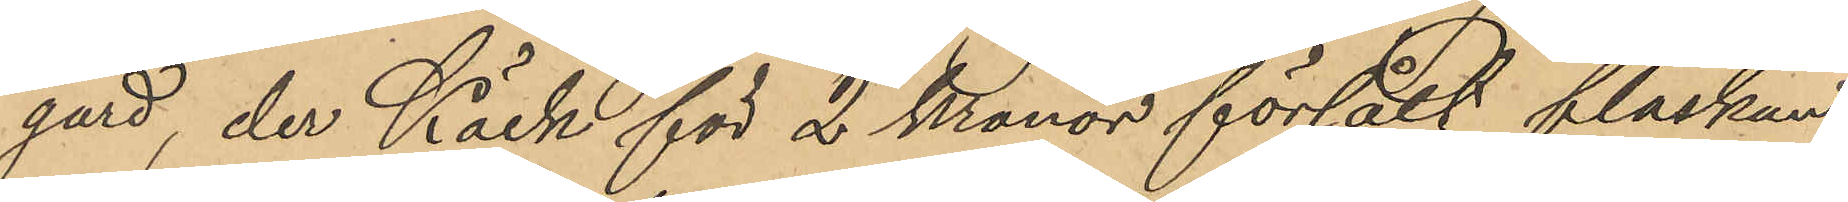gård, der Käck för 2 Kronor försålt flaskan;
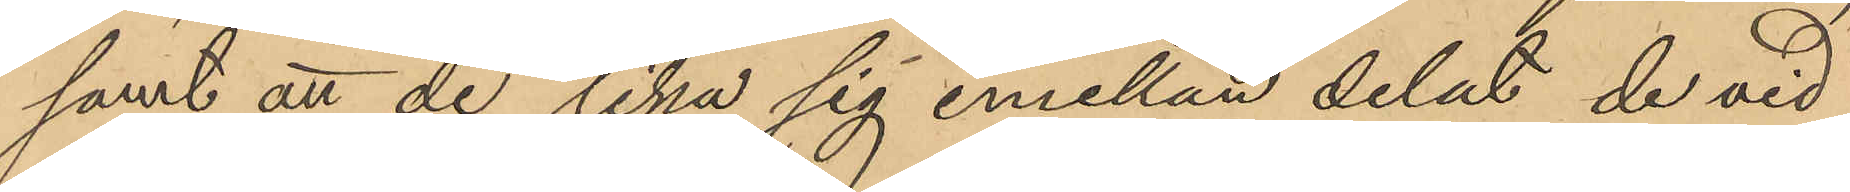samt att de lika sig emellan delat de vid
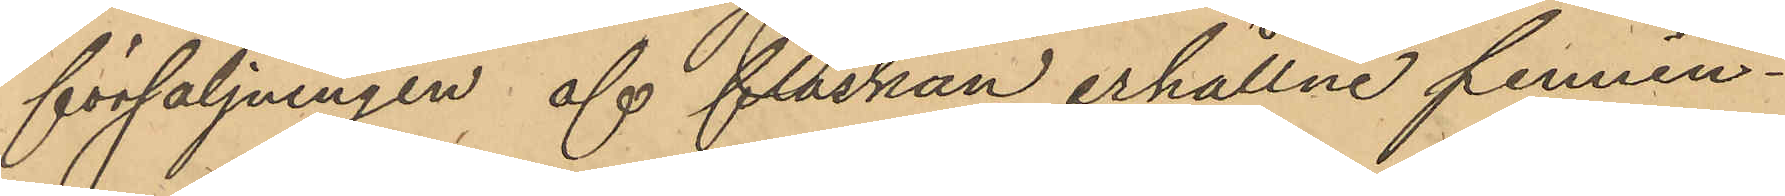försäljningen af flaskan erhållne pennin¬
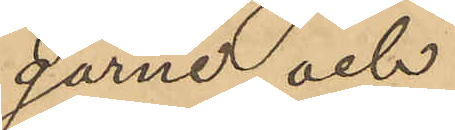garne, och
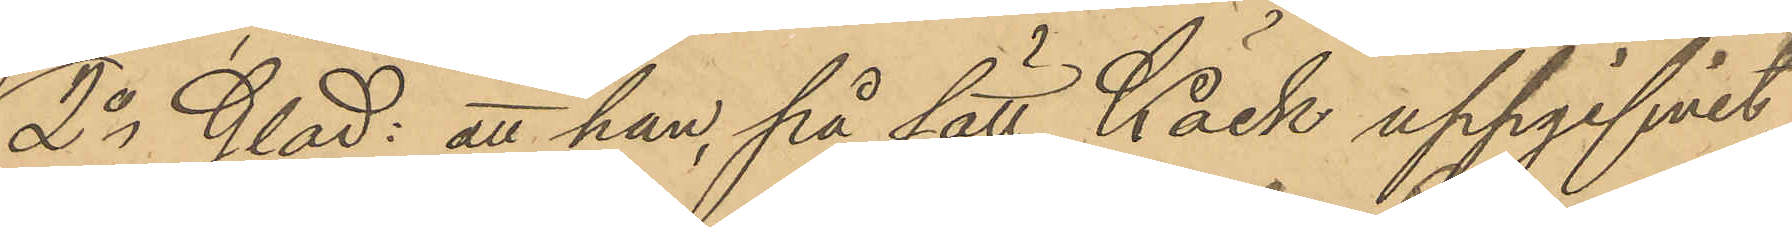2o Glad: att han, på sätt Käck uppgifvit,
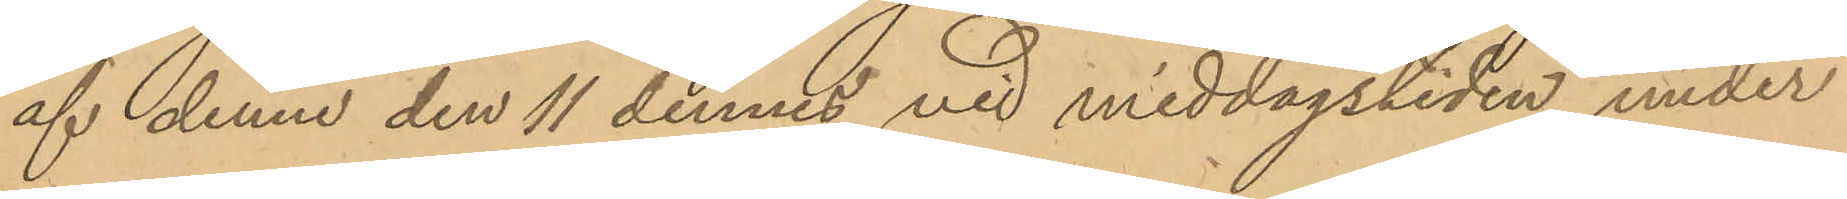af denne den 11 dennes vid middagstiden under
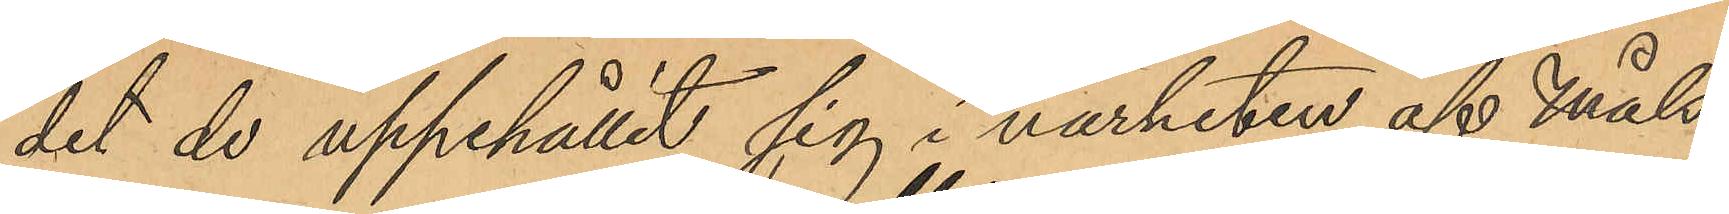det de uppehållit sig i närheten af Måls¬
